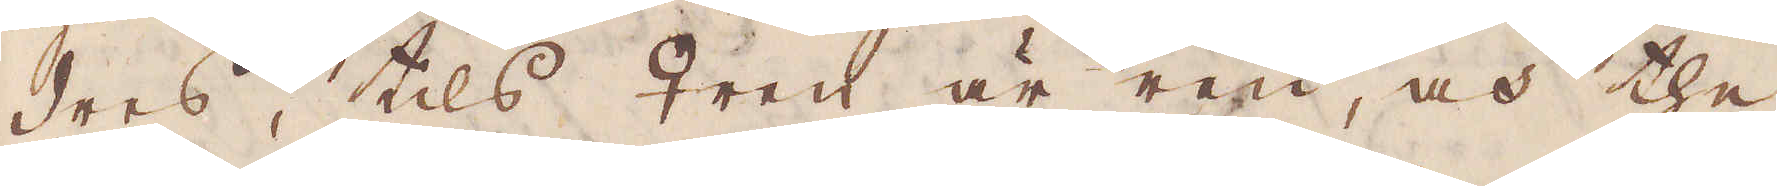dres, tils ♀ren är ren, och the
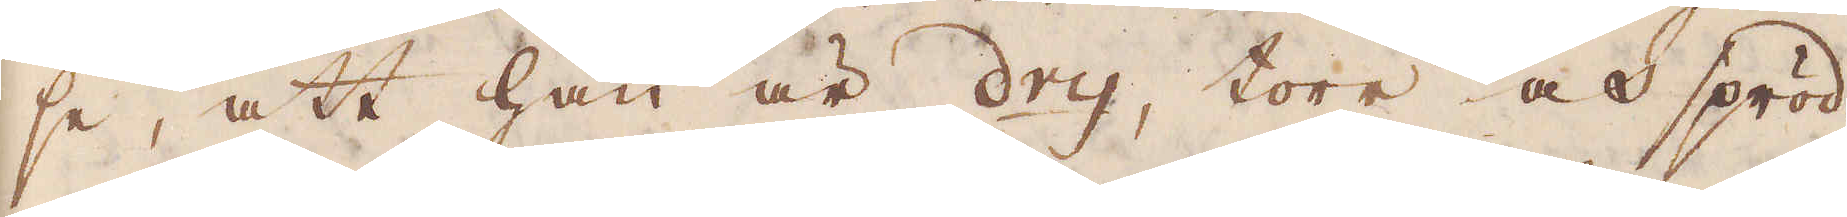se, att han är dry, torr och spröd.
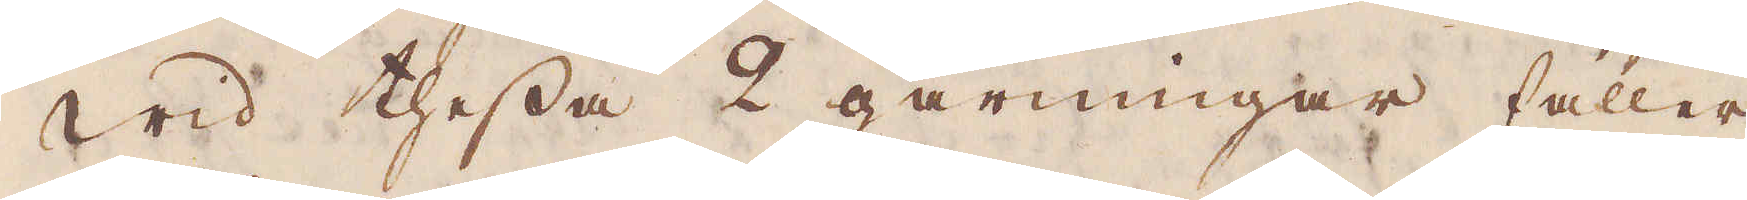Wid thessa 2 gårningar faller
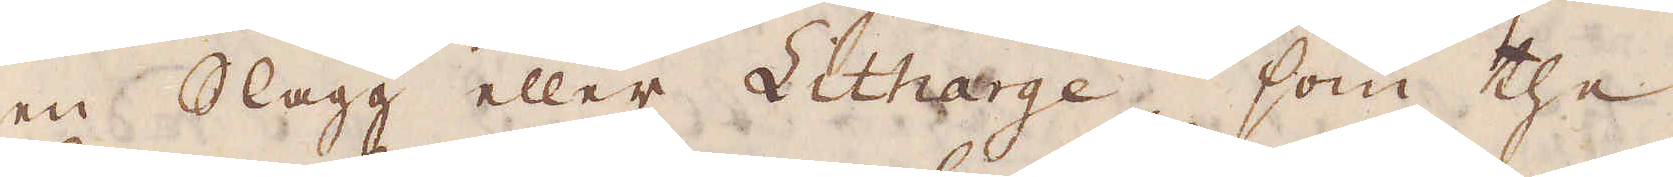en Slagg eller Litharge, som the
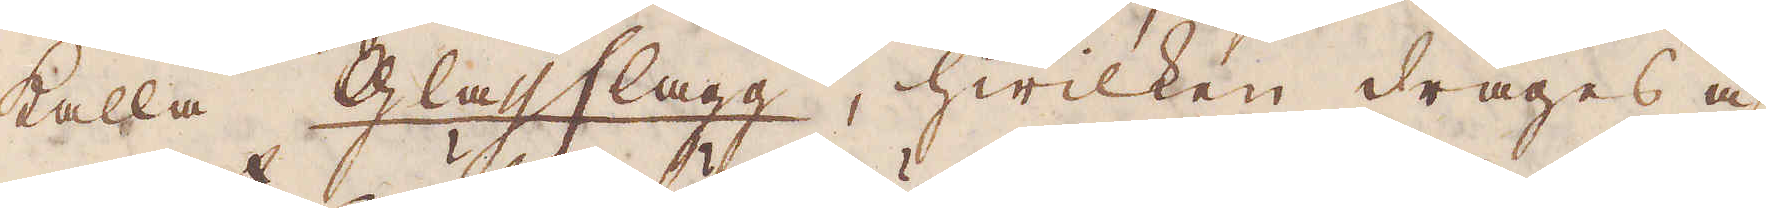kalla Glassslagg, hwilken drages af
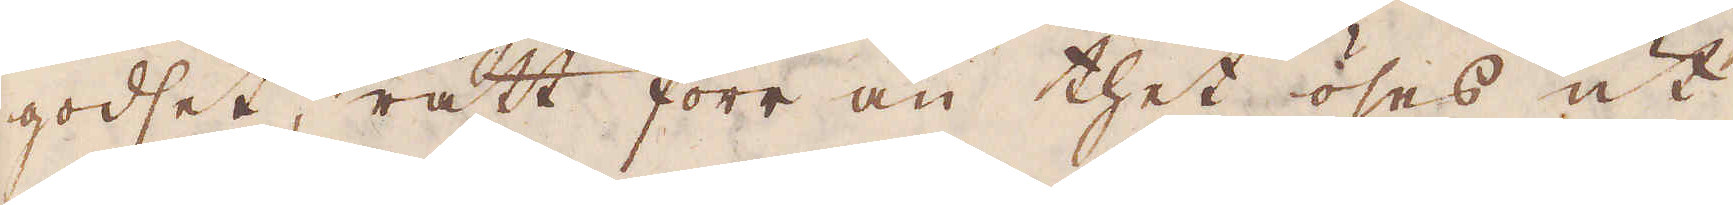godset, rätt förr än thet öses ut
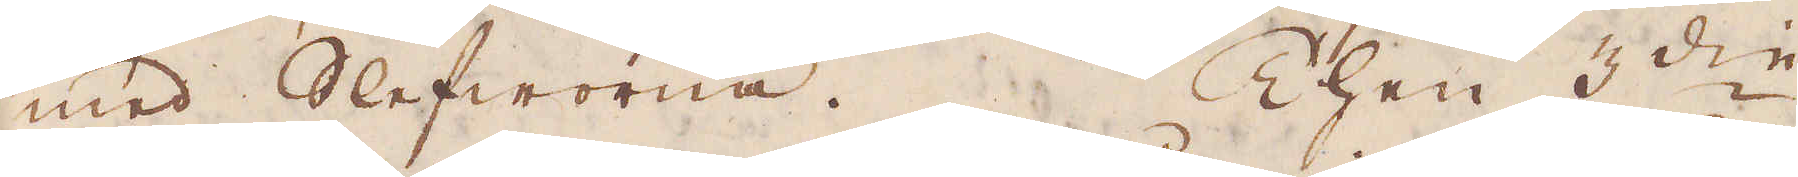med slefworna. Then 3:die
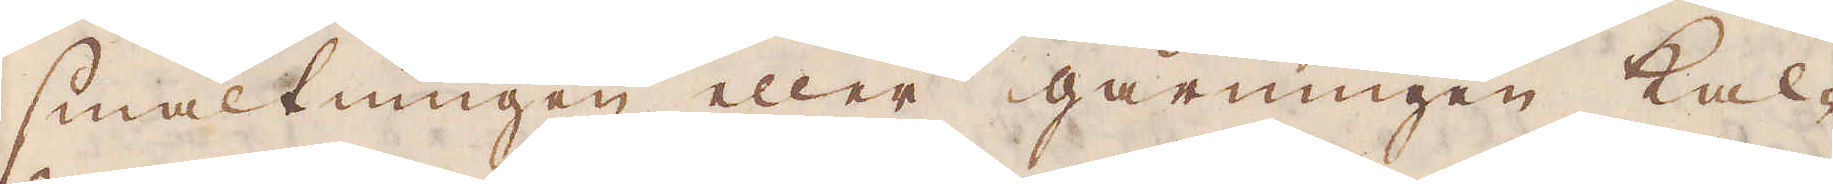smältningen eller gårningen kal-
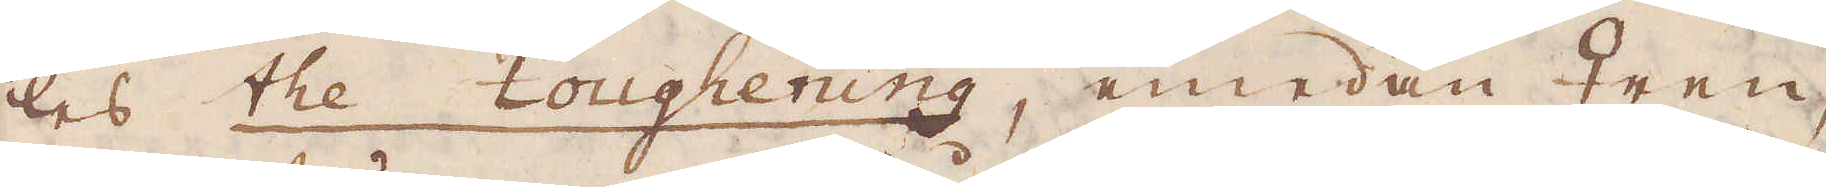las the toughening, emedan ♀ren,
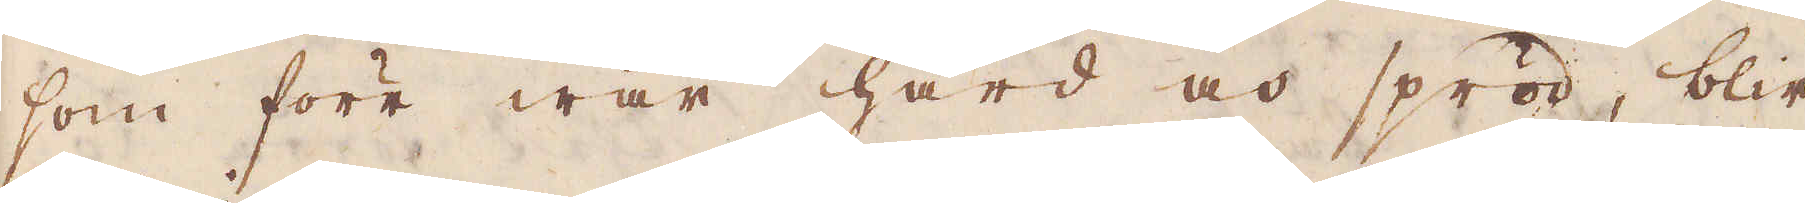som förr war hård och spröd, blir
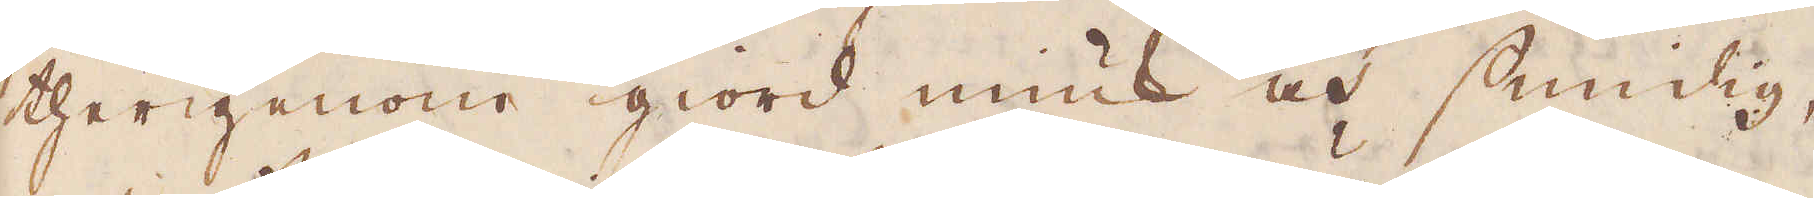therigenom giord miuk och smidig,
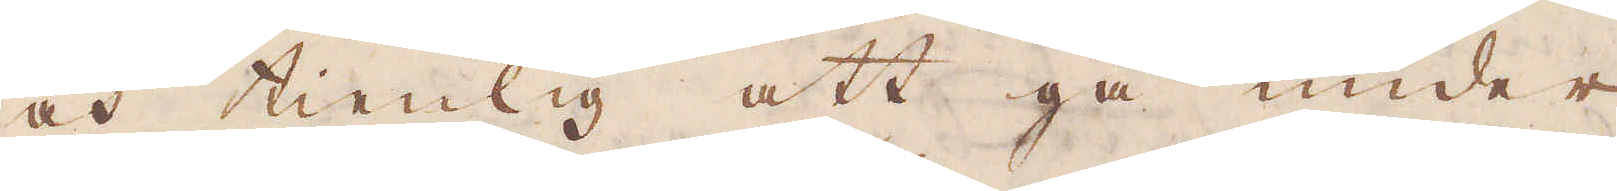och tienlig att gå under
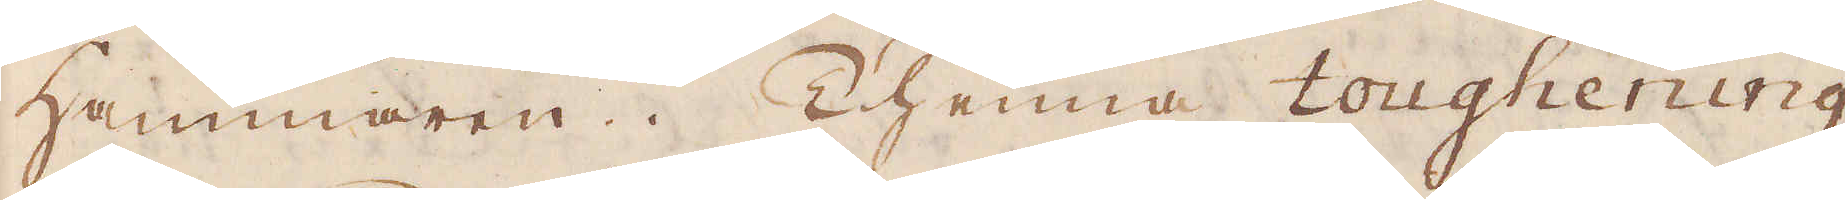hammaren. Thenna toughening
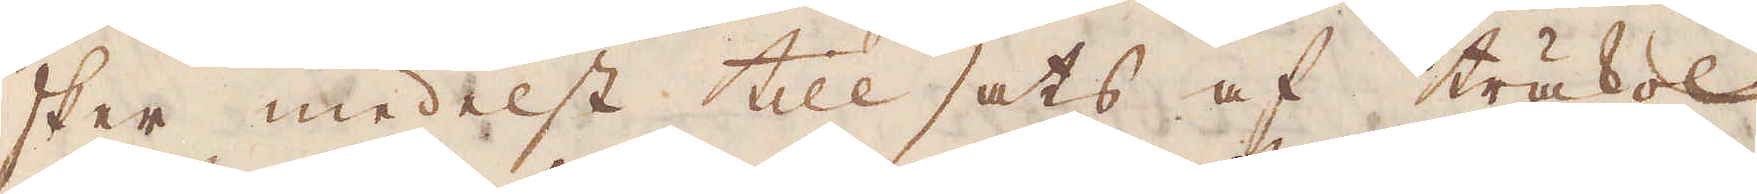sker medelst till sats af träkkol
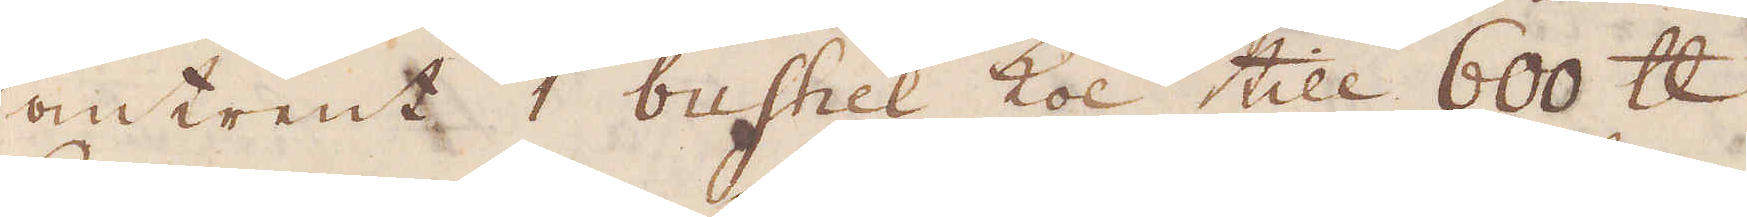omtrent 1 bushel kol till 600 skålpund
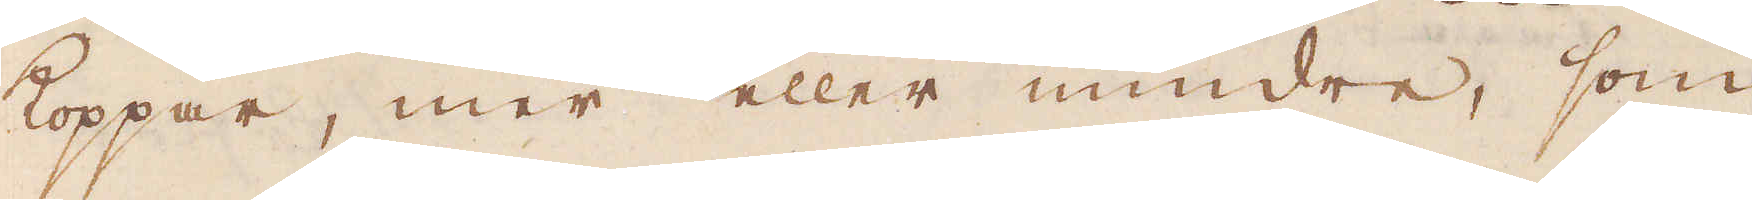koppar, mer eller mindre som
